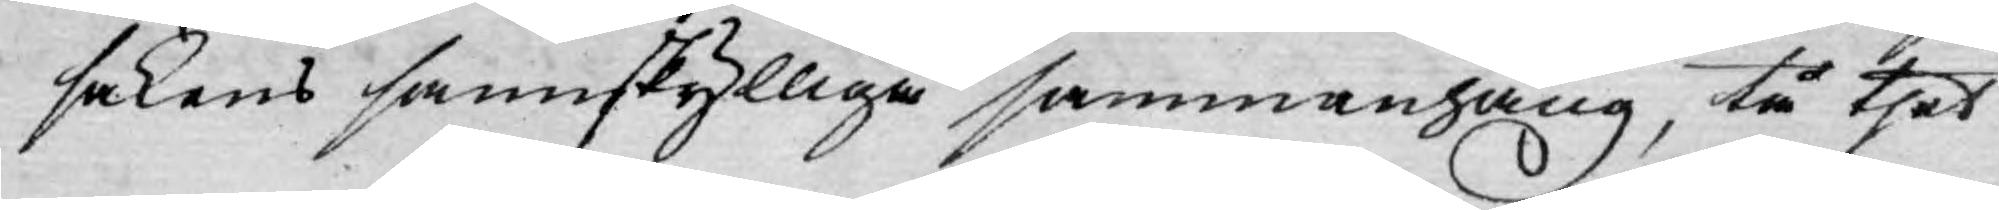sakens sannskylliga sammanhang, tå thet
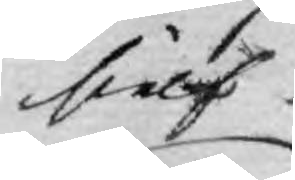sielf
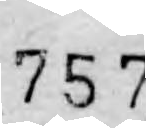757.
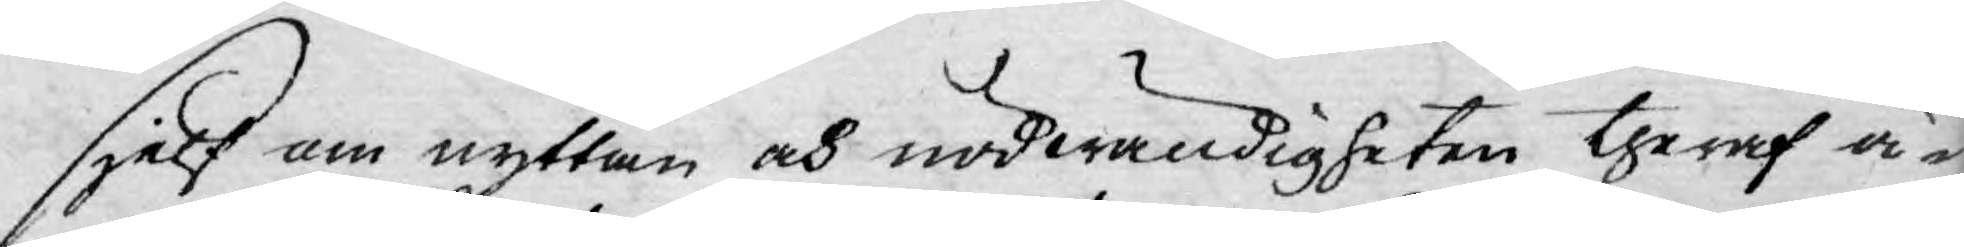sjelf om nyttan och nödwändigheten theraf ä¬
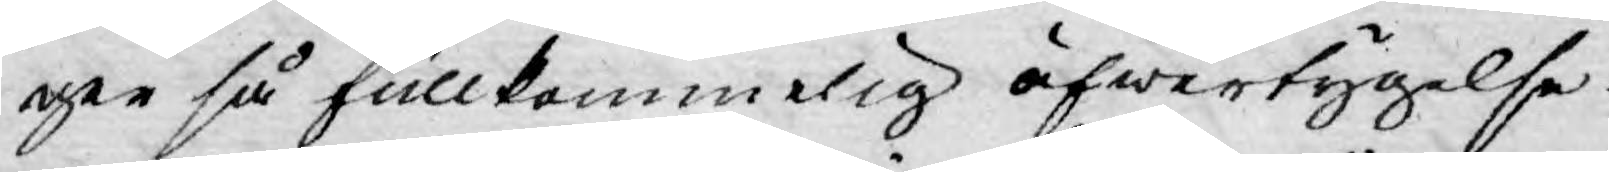ger så fullkommelig öfwertygelse.
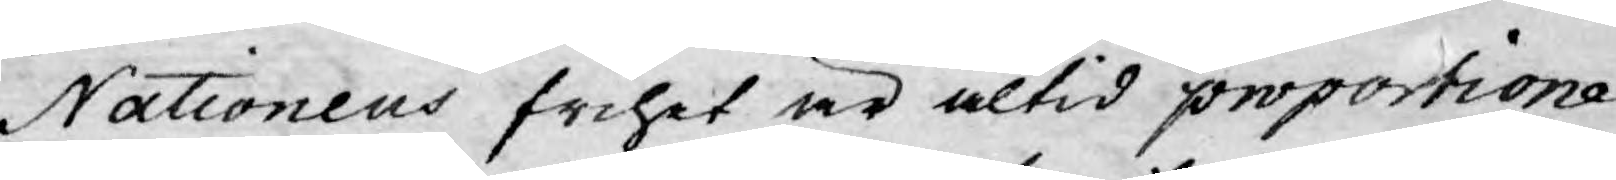Nationens frihet är altid proportione¬
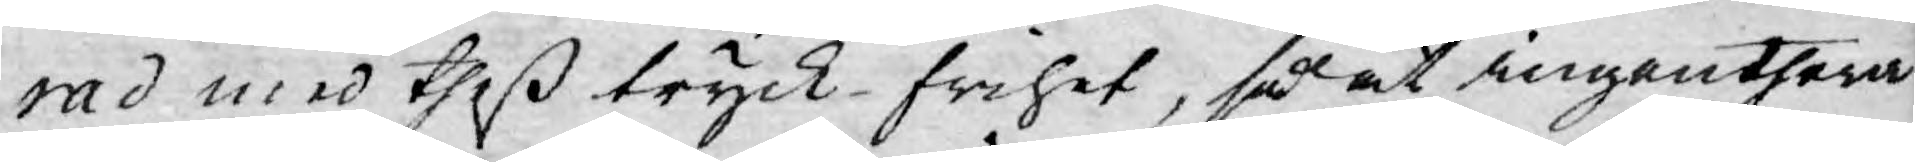rad med theß tryck-frihet, så at ingenthera
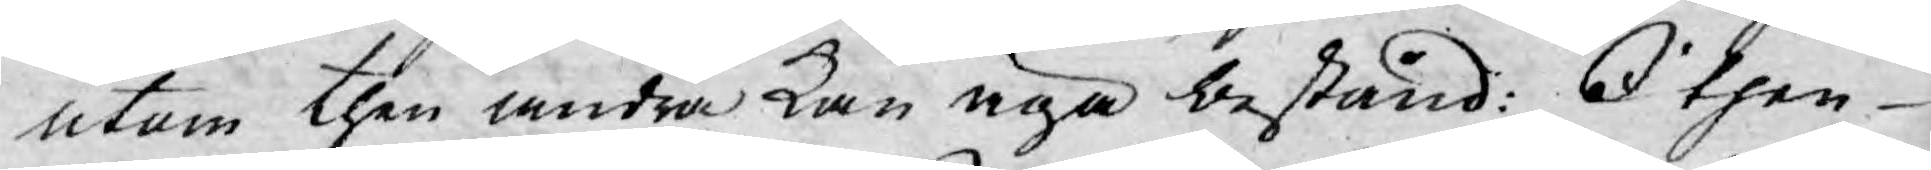utom then andra kan äga bestånd: I then
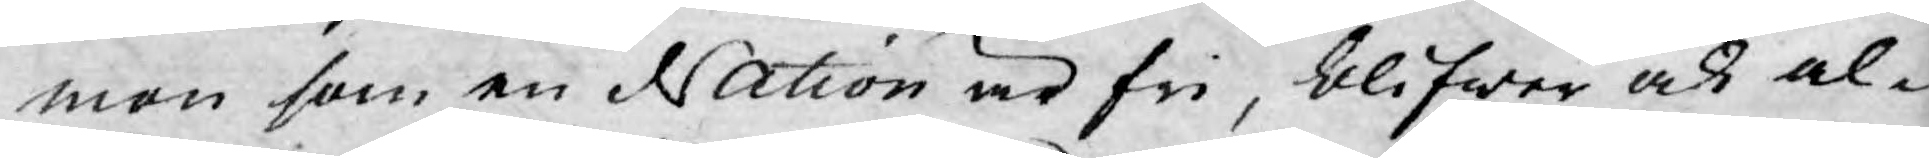mon som en Nation är fri, blifwer ock al¬
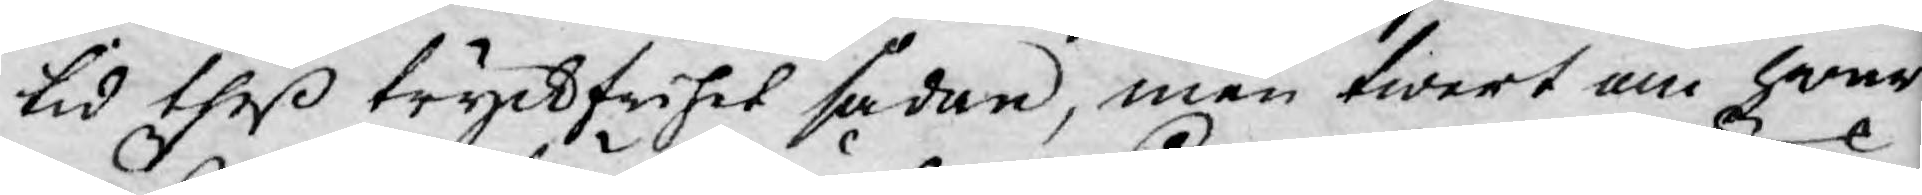tid theß tryckfrihet sådan, men twert om hwar
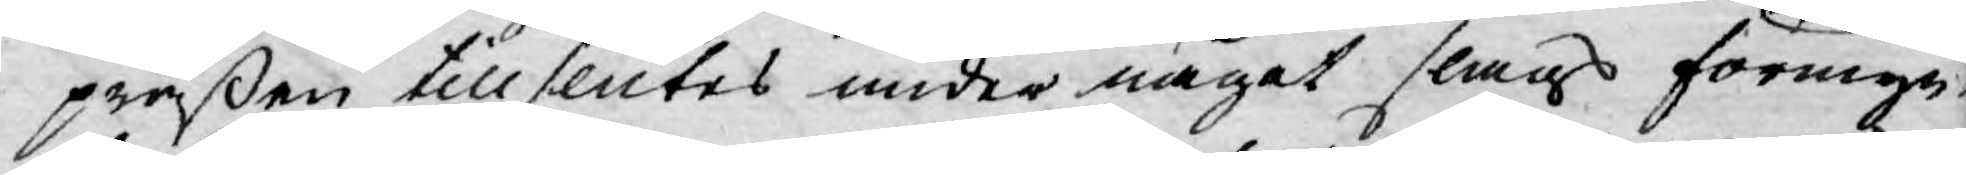präßen tillslutes under något slags förmyn¬
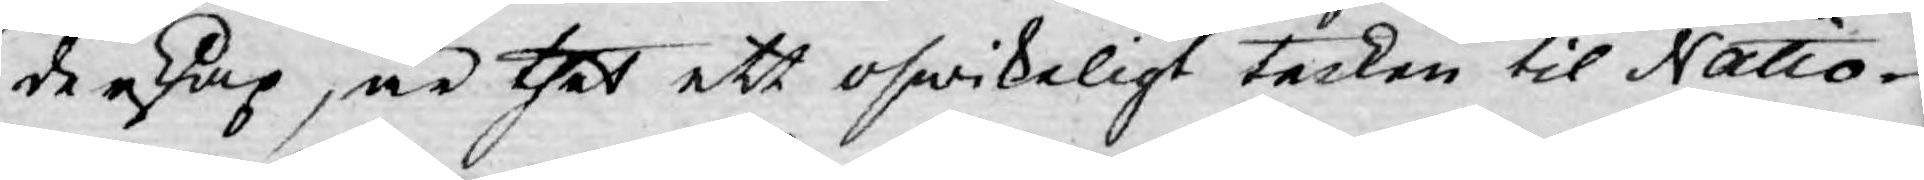derskap, är thet ett oswikeligt tecken til Natio¬
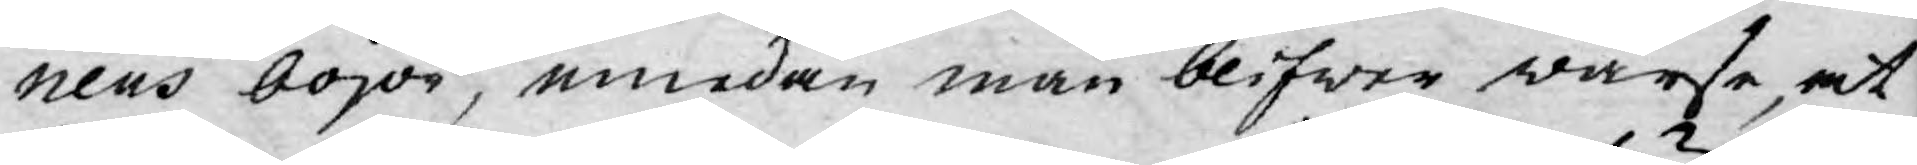nens bojor, emedan man blifwer warse, at
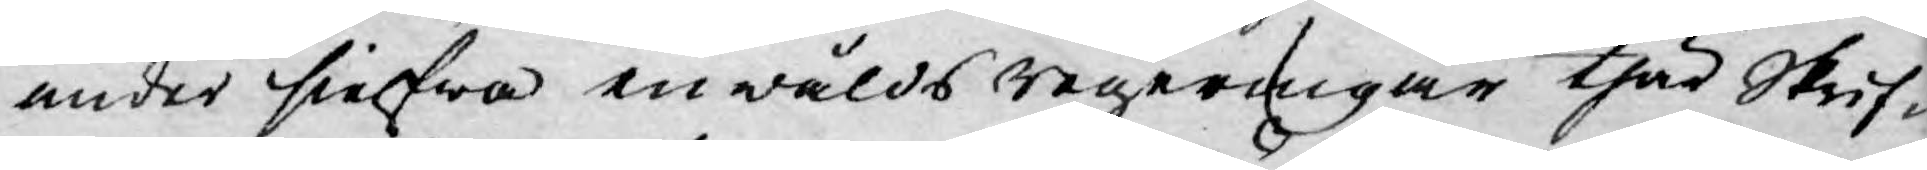under sielfwa enwålds regeringar thär Skrif¬
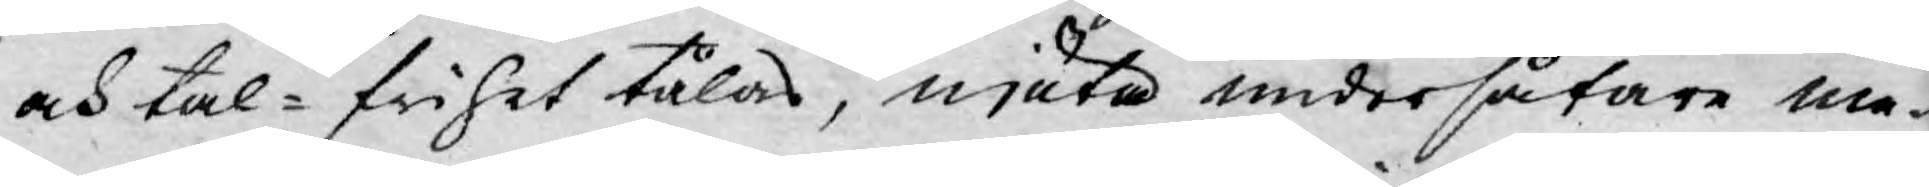och tal-frihet tålas, njuta undersåtare me¬
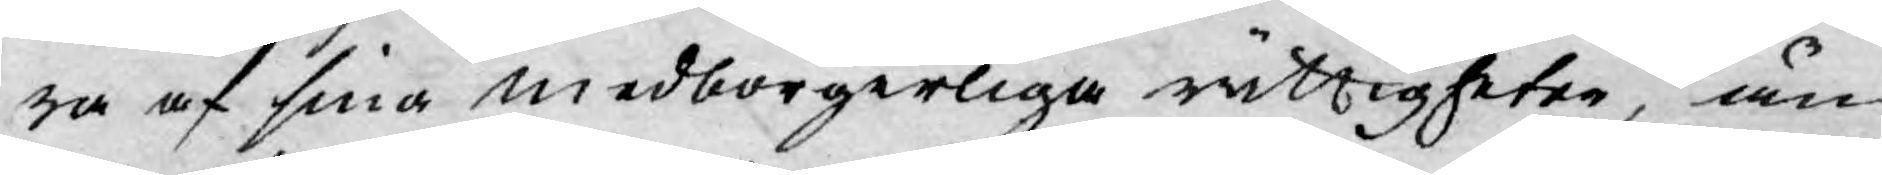ra af sina medborgerliga rättigheter, än
